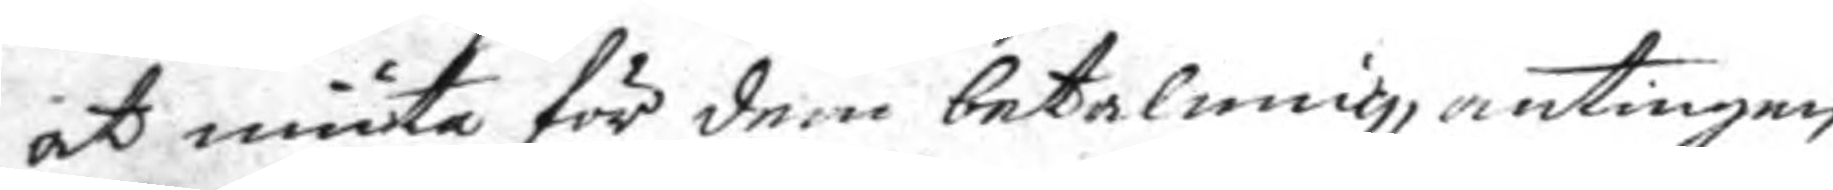at niuta för dem betalning, antingen
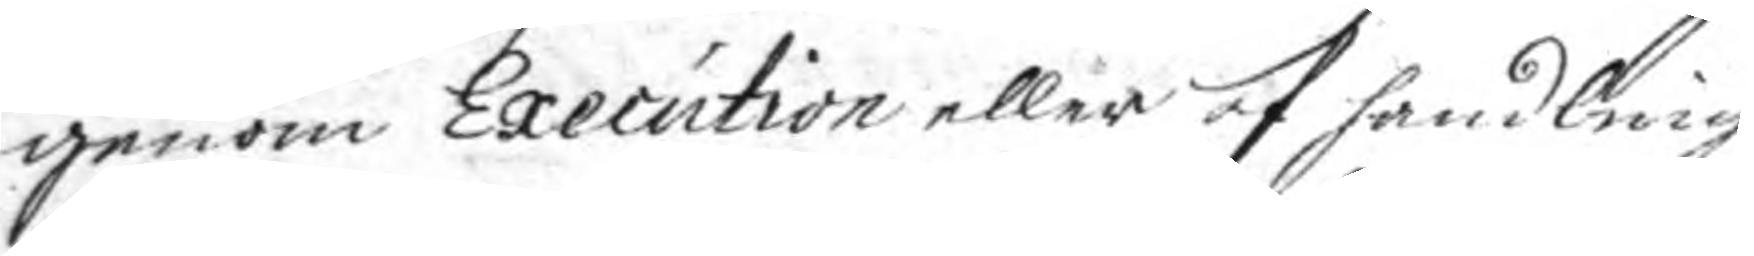genom Execution eller af handling
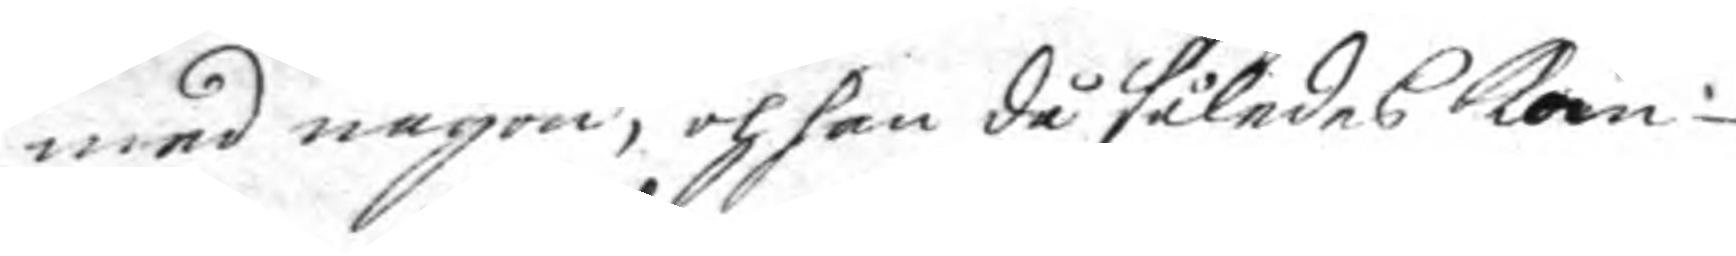med någon, och han då således kan
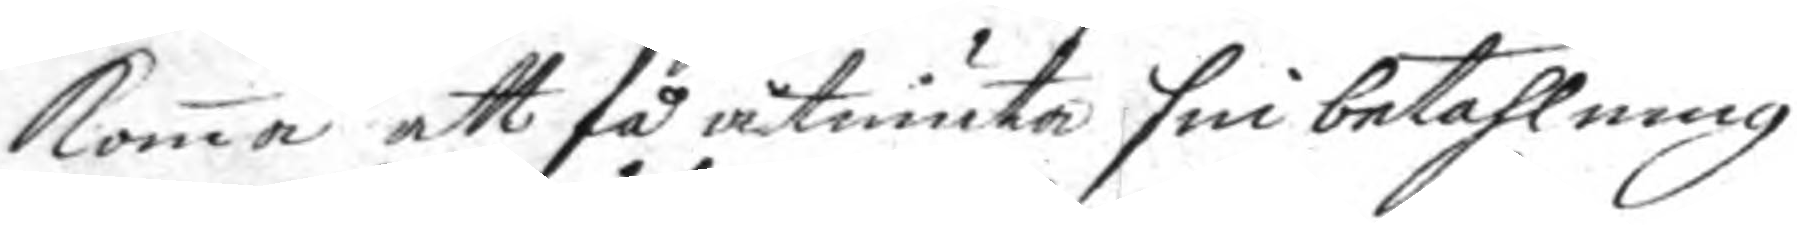koma att få åtniuta sin betahlning
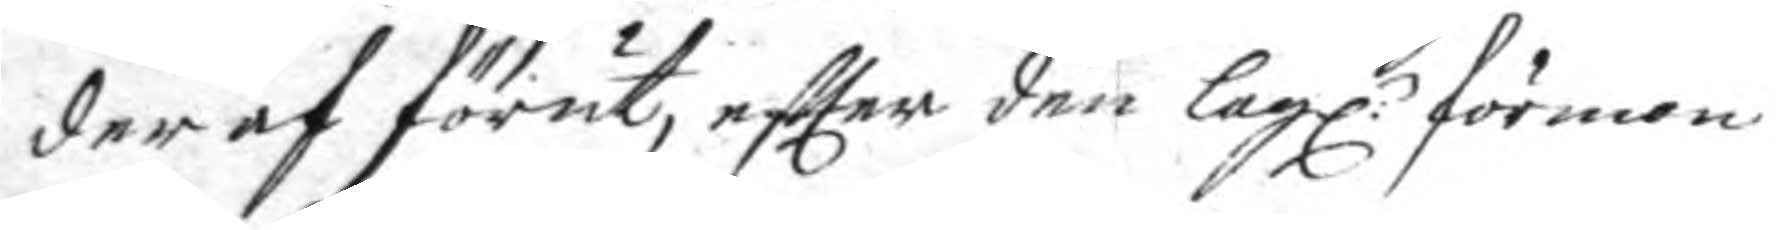der af förut, eftter den lagl: förmon
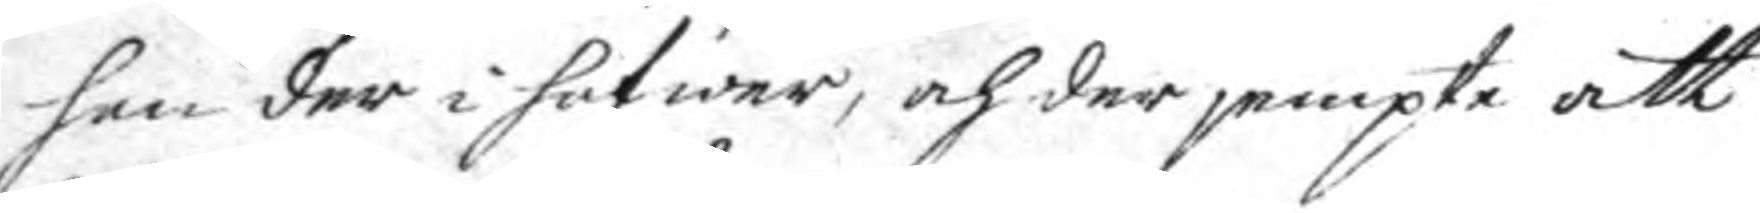han der i hafwer, och der jempte att
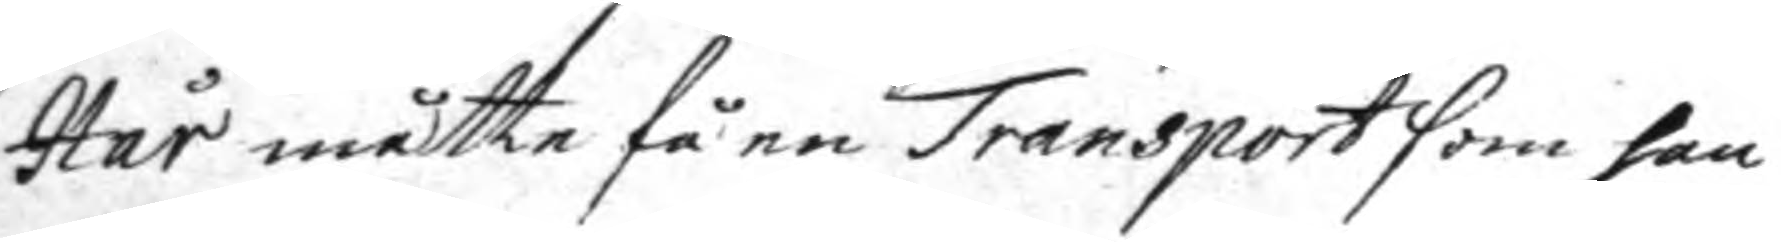Hår måtte få en Transport som han
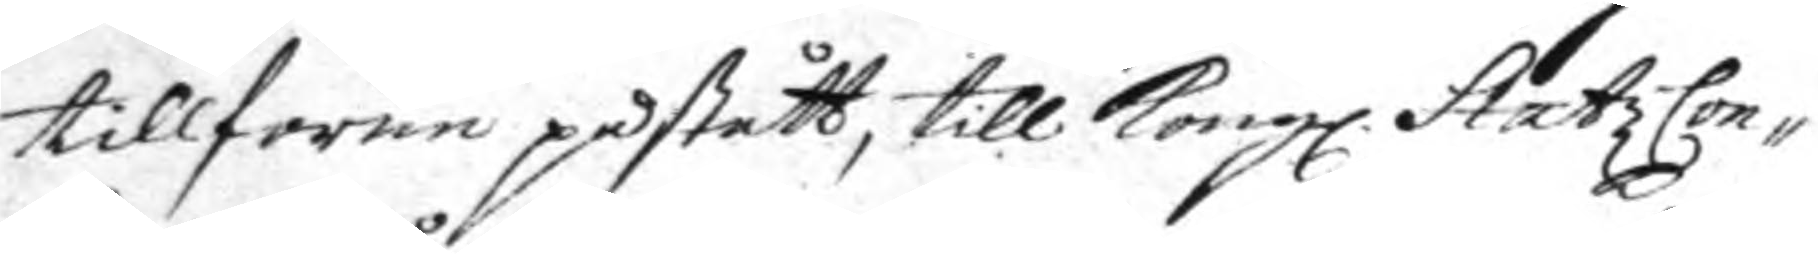tillförne påstått, till Kongl. StatzCon¬
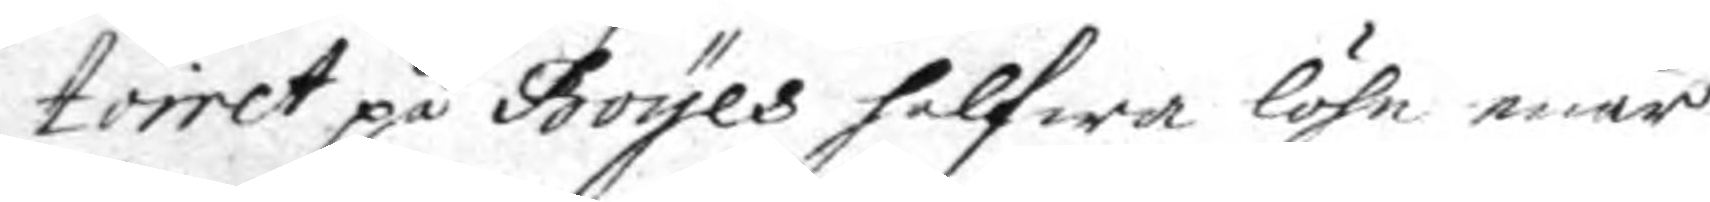toiret på Boyes halfwa löhn enär
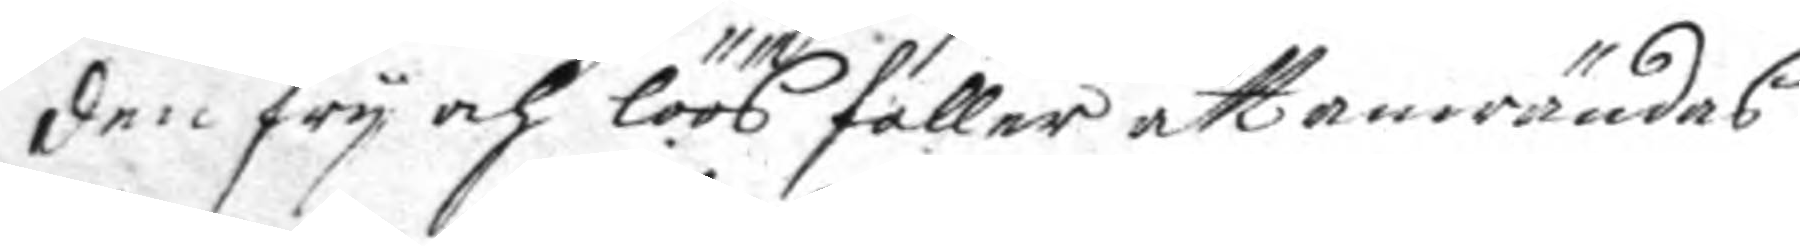den fry och löös faller att anwändas
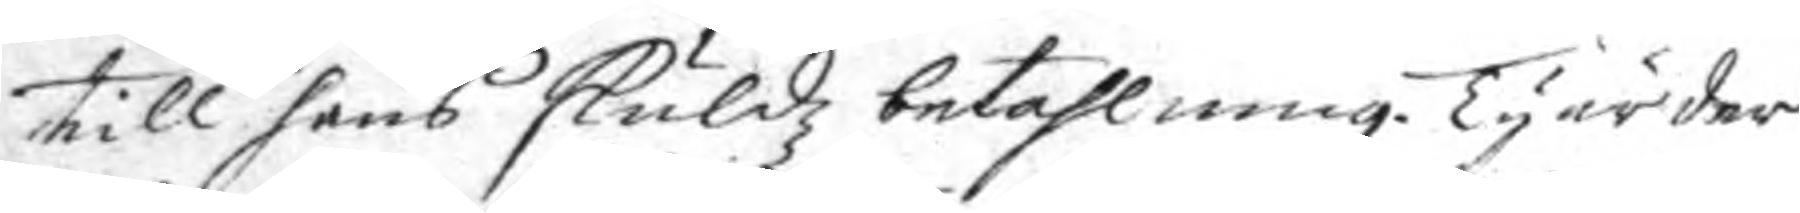till hans skuldz betahlning. Ty är der
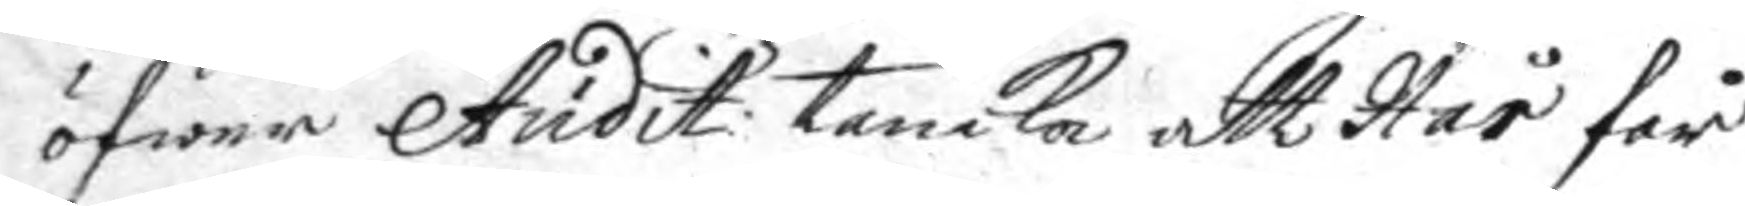öfwer Audit: tanka att Hår får
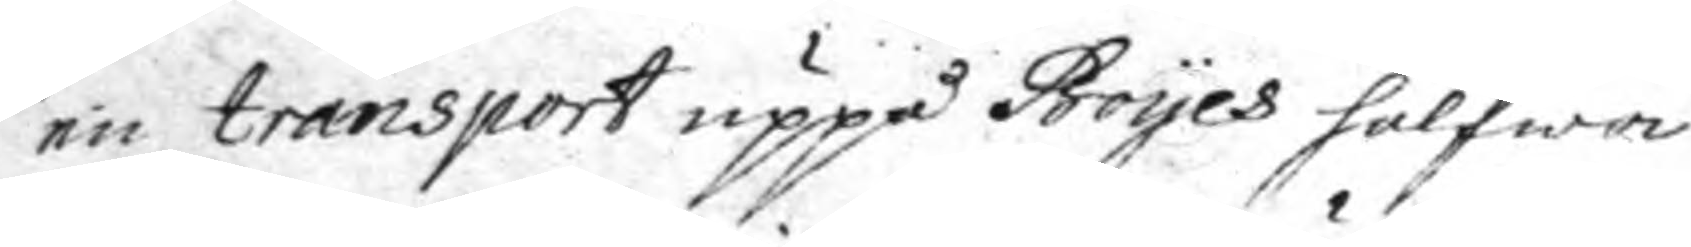en transport uppå Boyes halfwa
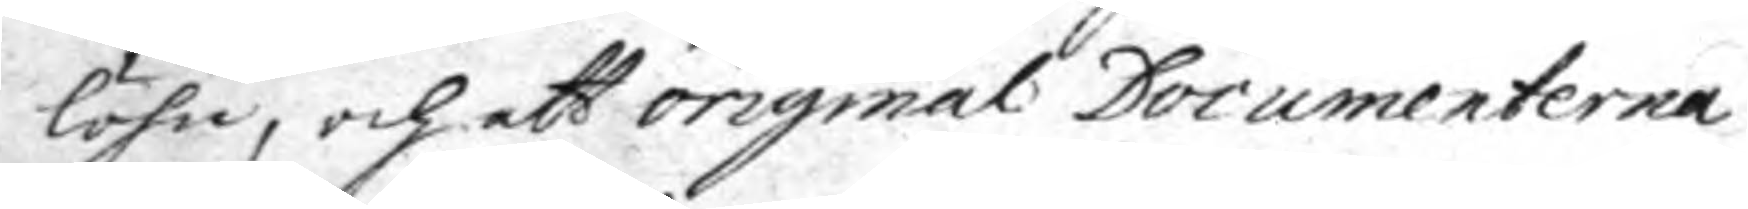löhn, och att original Documenterna
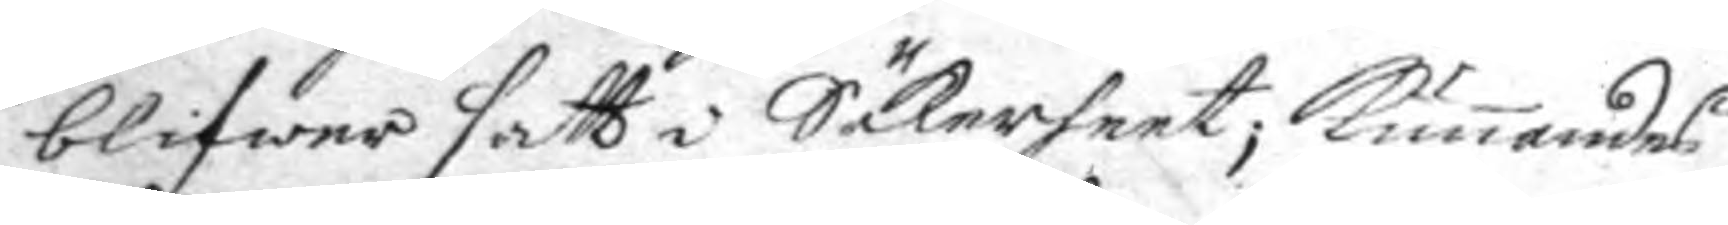blifwer satt i Säkerheet; kunnandes
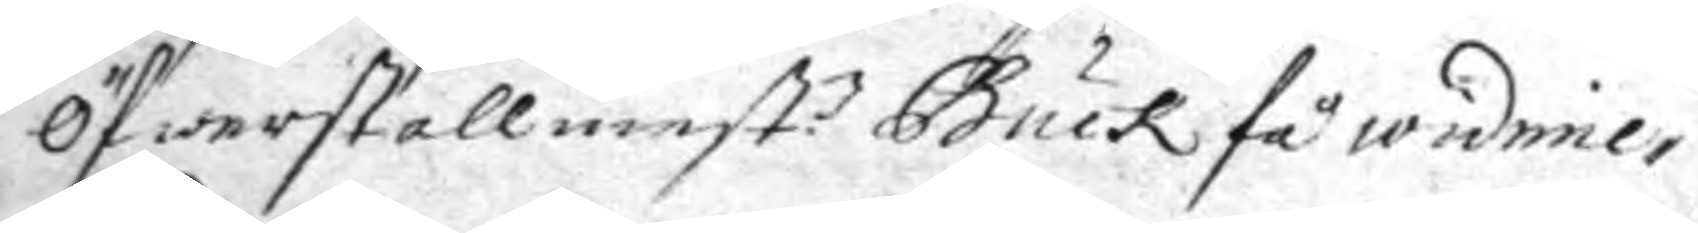Öfwerstallmest:n Buck så widime¬
